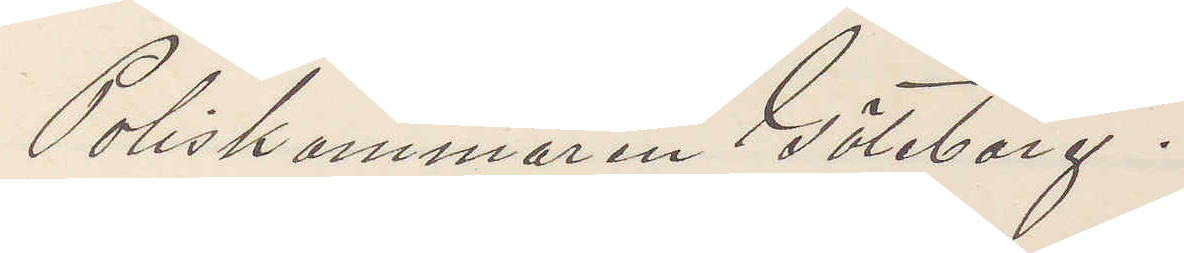Poliskammaren Göteborg.
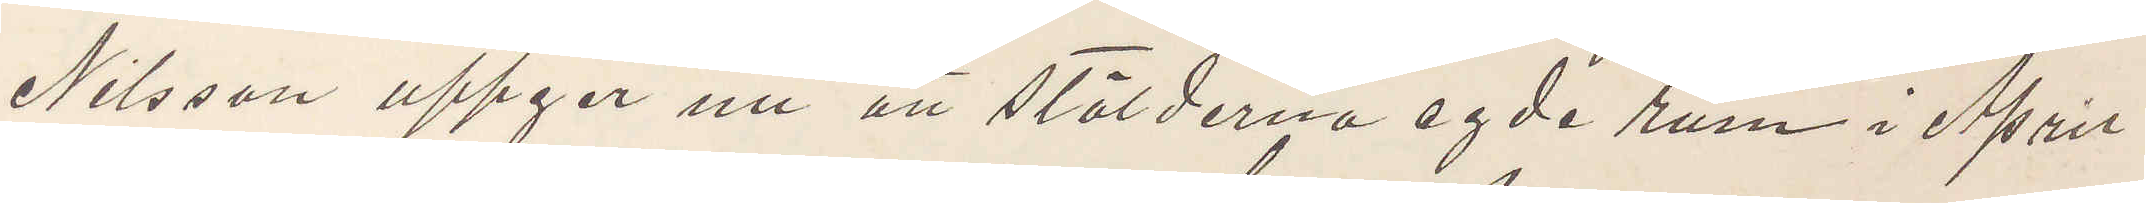Nilsson uppgår nu att stölderna egde rum i April
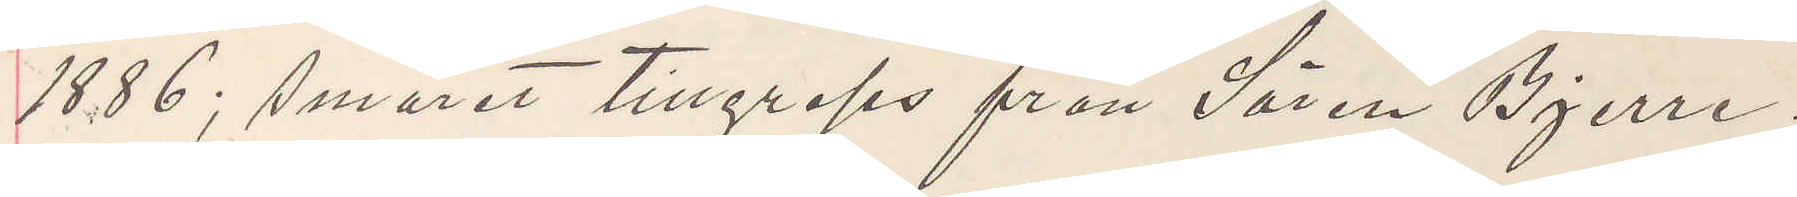1886; Smöret tillgreps från Sören Bjerre.
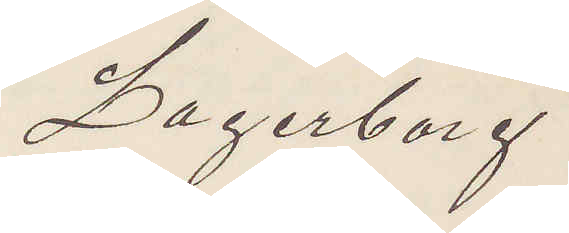Lagerborg
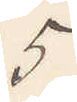5
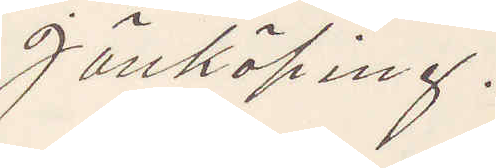Jönköping.
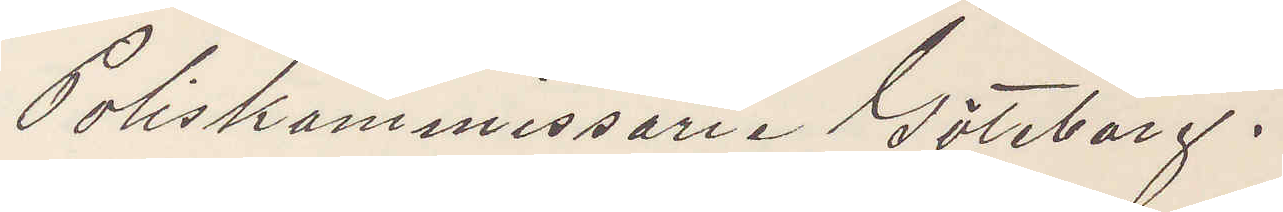Poliskammissarie Göteborg.
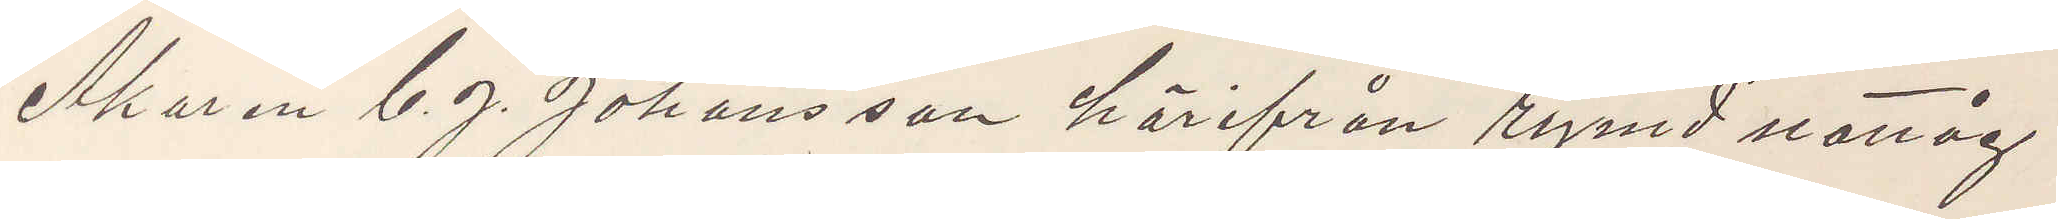Åkaren C. J. Johansson härifrån rymd nattåg
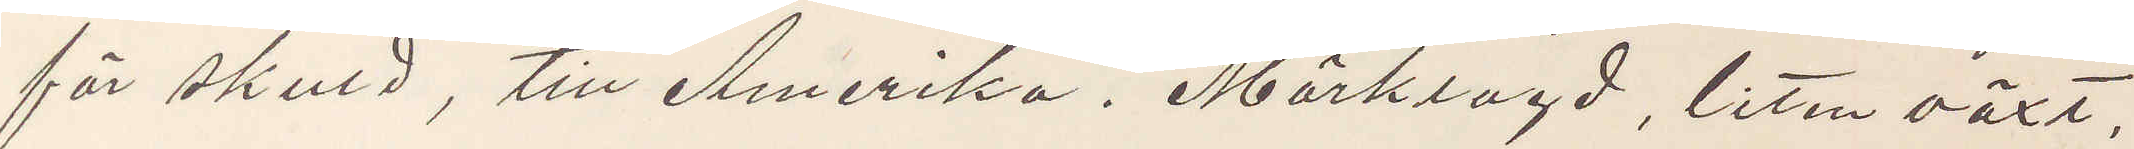för skuld, till Amerika. Mörklagd, liten växt,
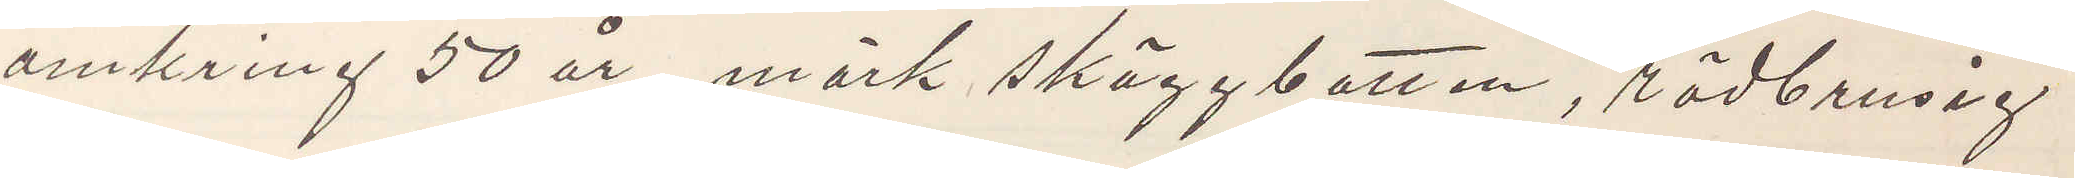omkring 50 år, mörk skäggbotten, rödbrusig
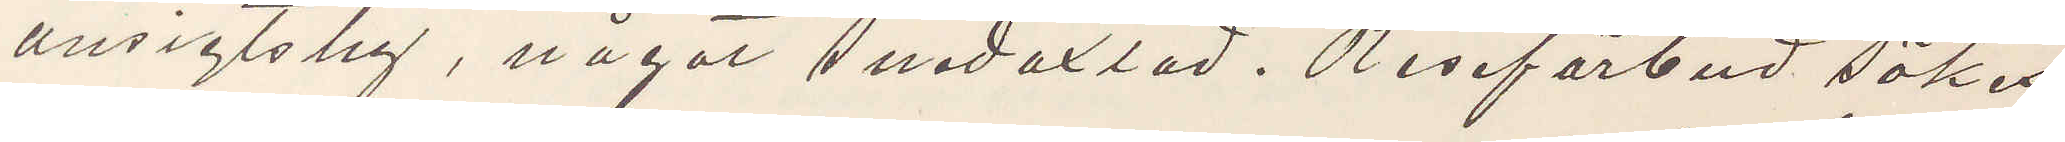ansigtshy, något snedaxlad. Reseförbud sökes
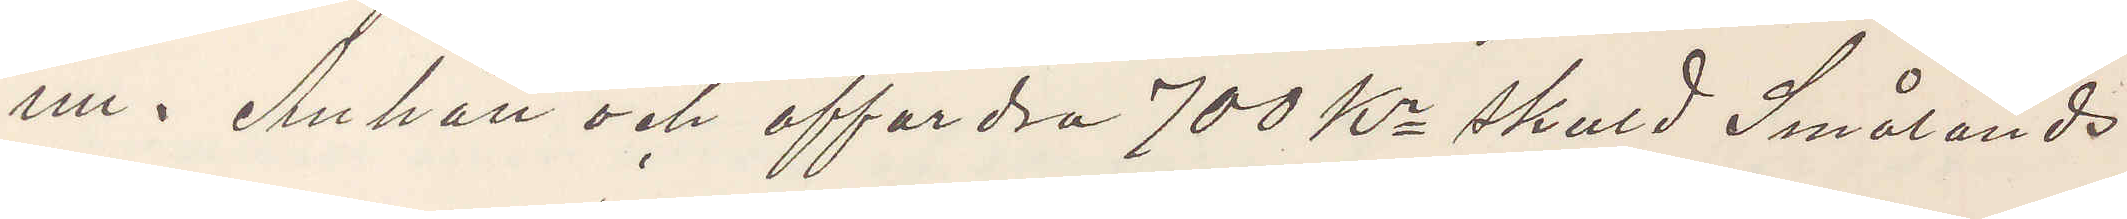nu. Anhåll och affordra 700 Kr skuld Smålands
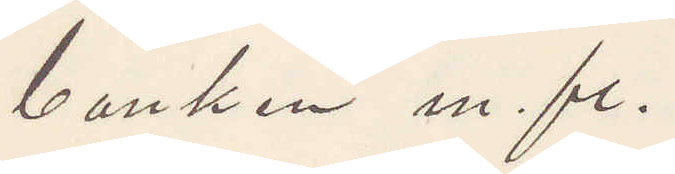banken m. fl.
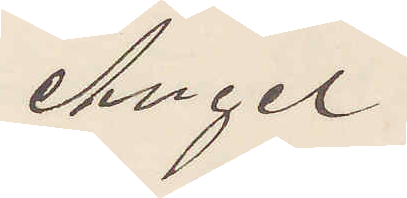Angel
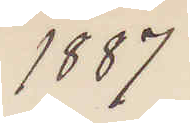1887
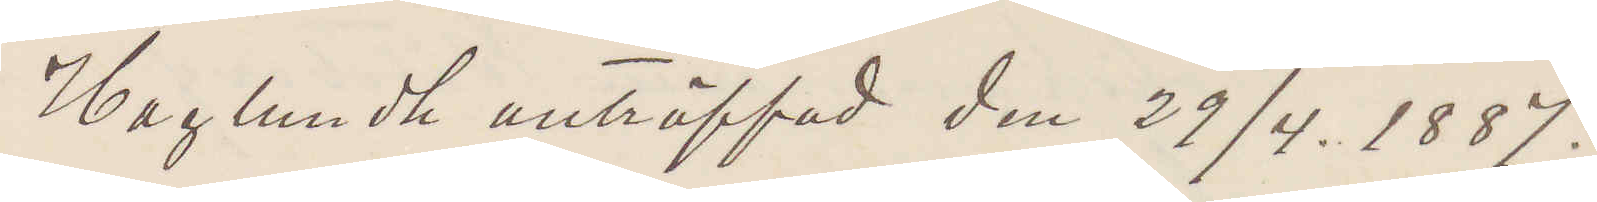Haglundh anträffad den 29/4. 1887;
